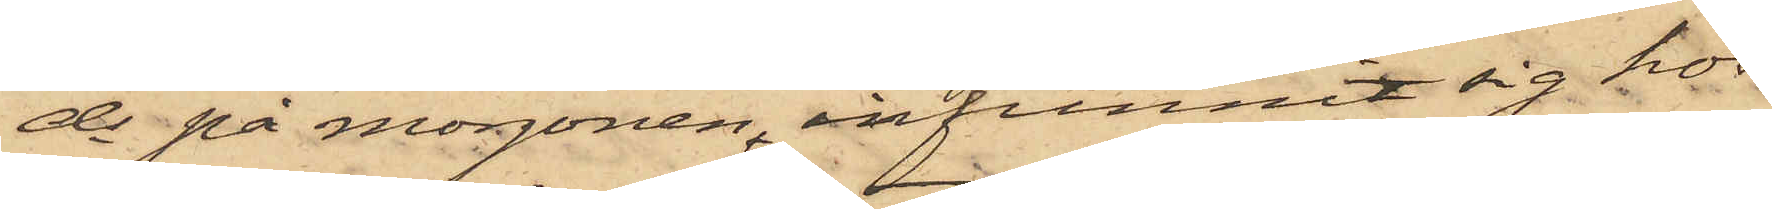ds på morgonen, infunnit sig hos
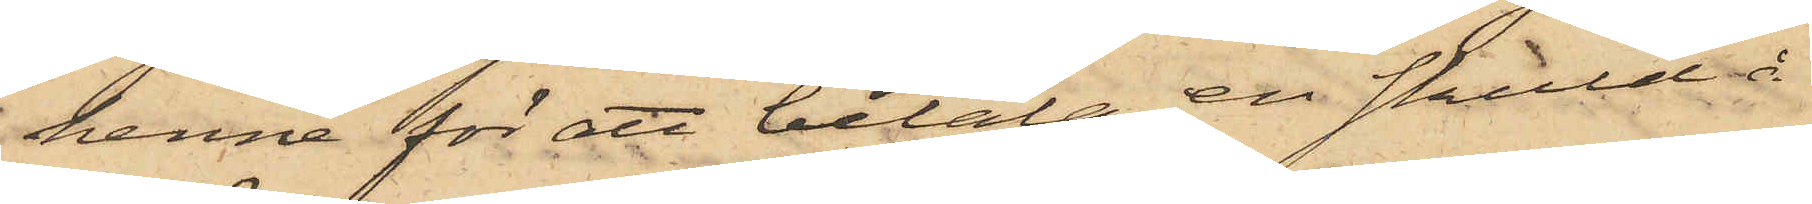henne för att betala en skuld å
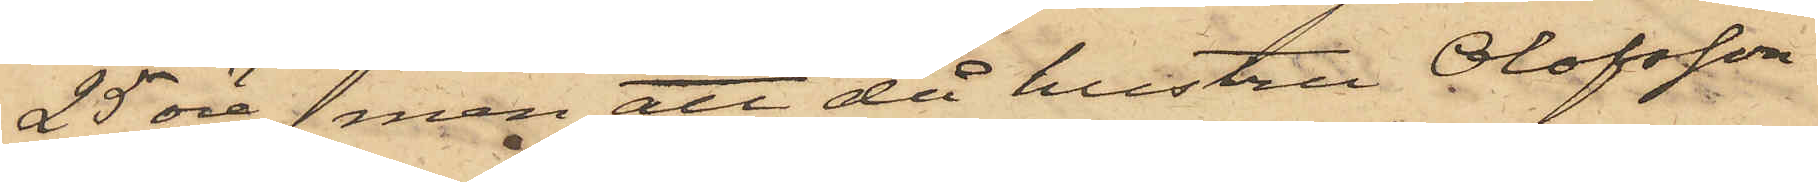25 öre, men att då hustru Olofsson
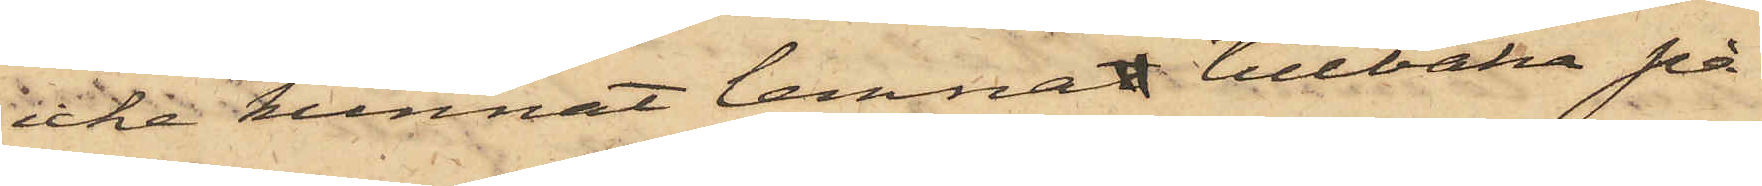icke kunnat lemnat tillbaka på
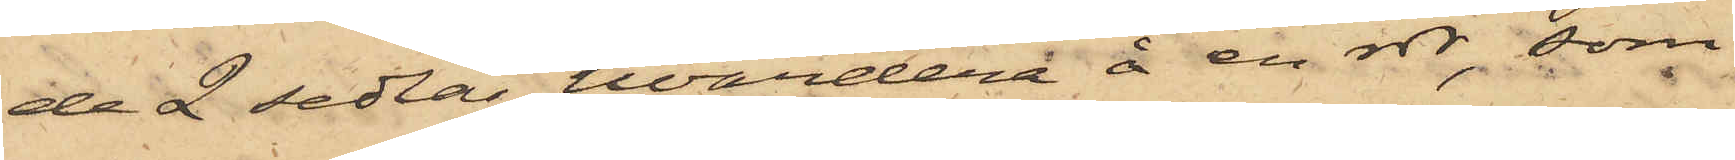de 2 sedlar, hvardera å en rdr, som
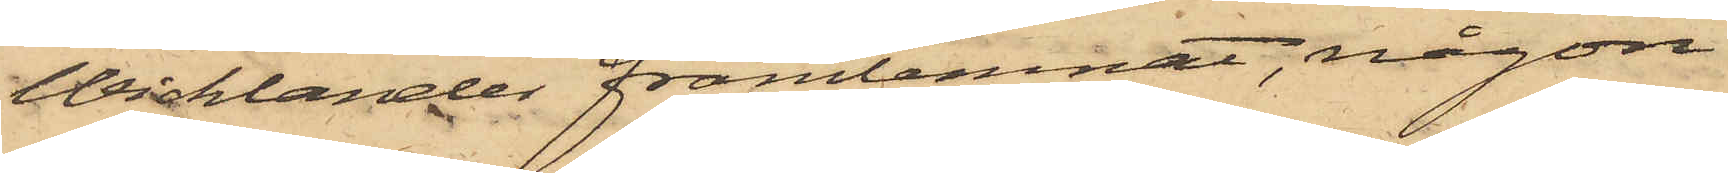Wicklander framlemnat, någon
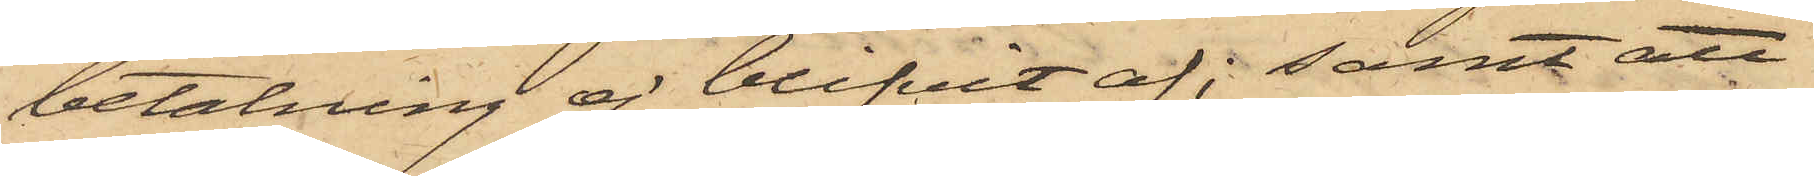betalning ej blifvit af; samt att
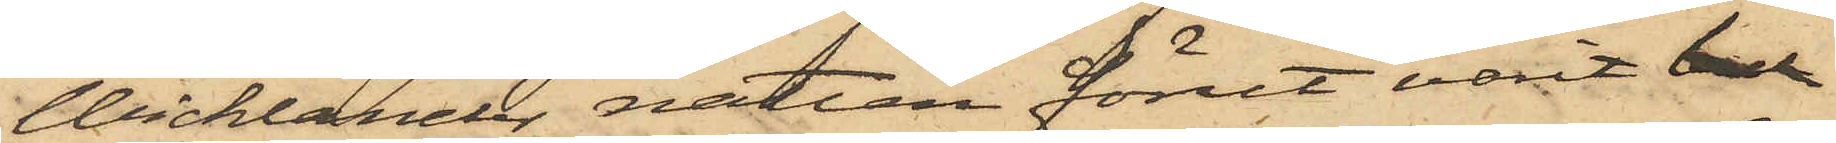Wicklander natten förut varit bul
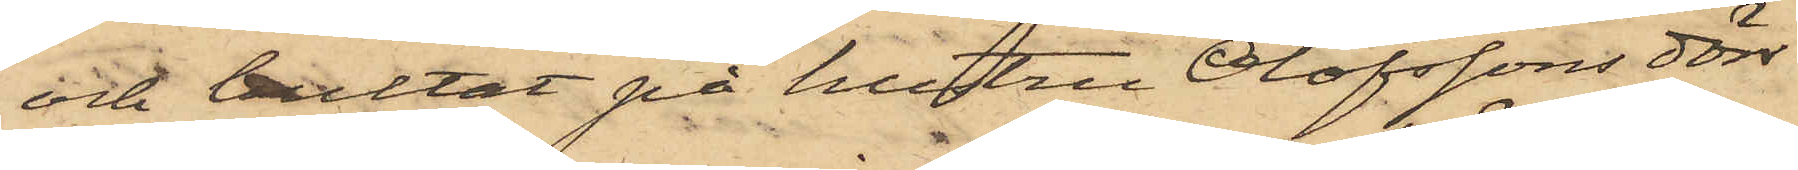och bultat på hustru Olofssons dörr
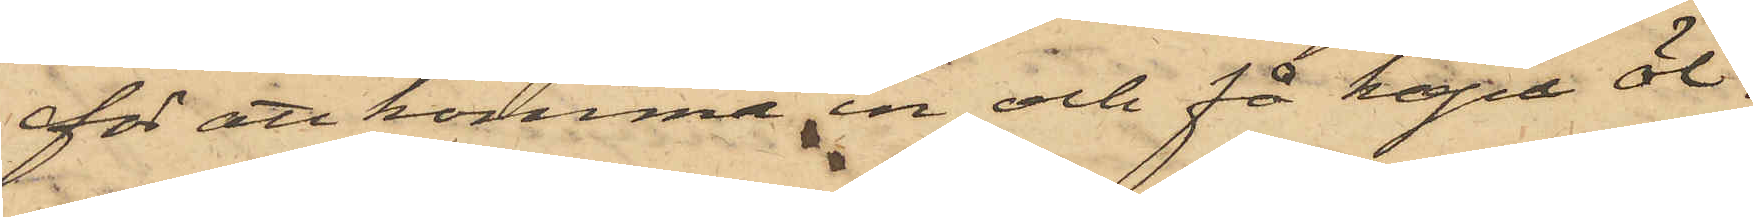för att komma in och få köpa öl.
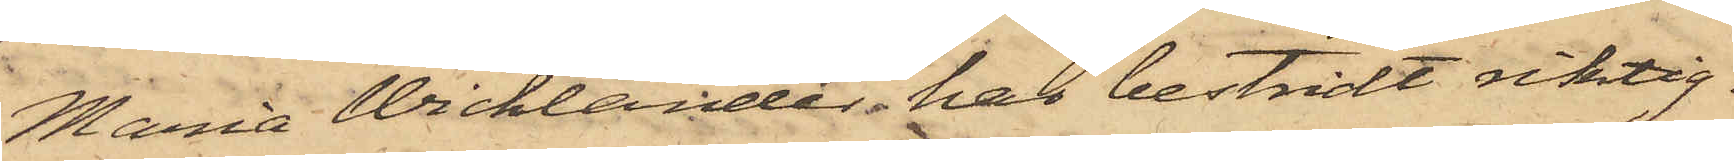Maria Wicklander har bestridt riktig¬
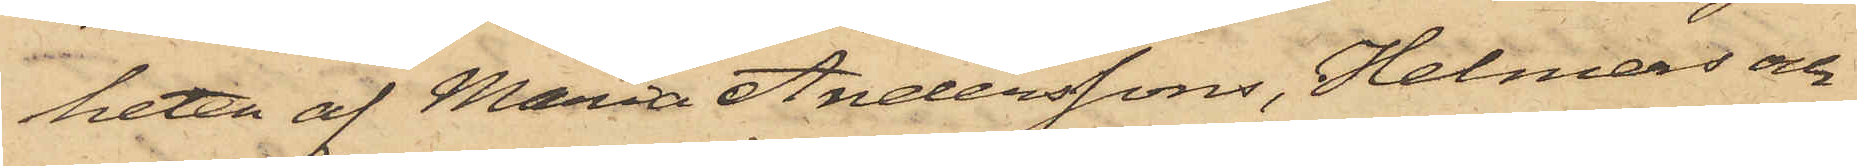heten af Maria Anderssons, Helmers och
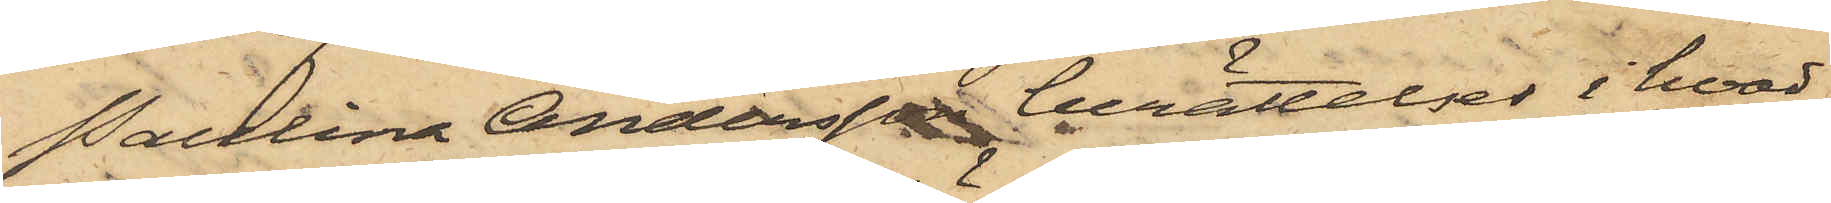Paulina Andersson berättelser i hvad
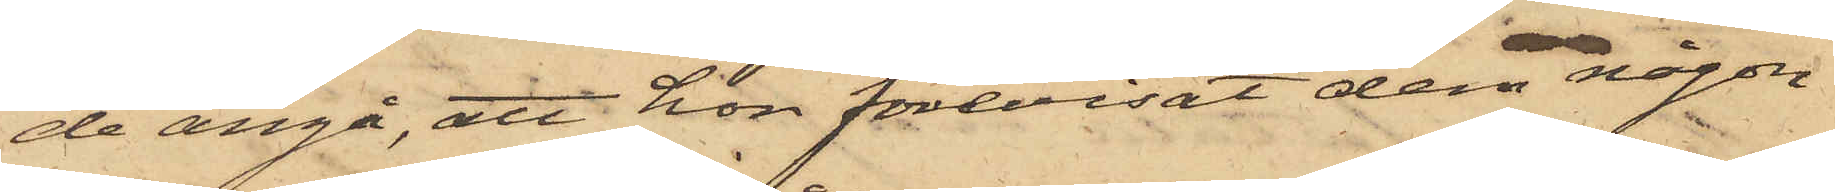de angå, att hon förevisat dem någon
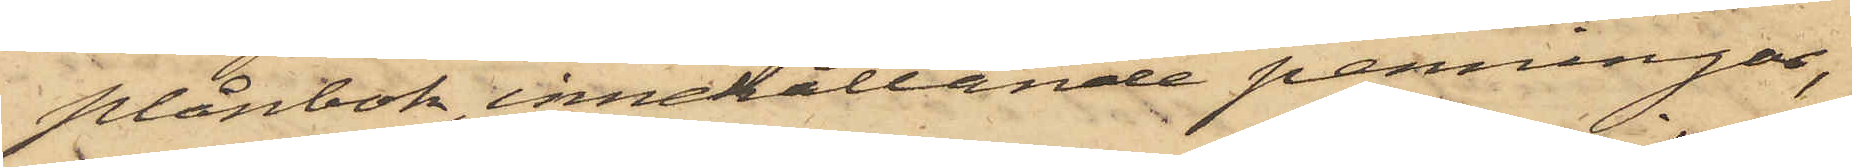plånbok, innehållande penningar,
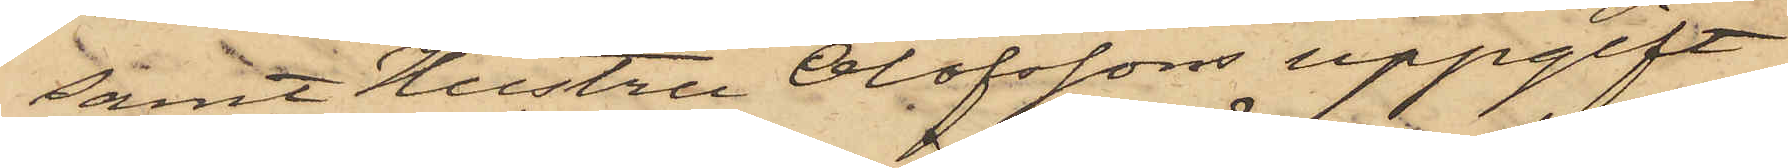samt Hustru Olofssons uppgift
